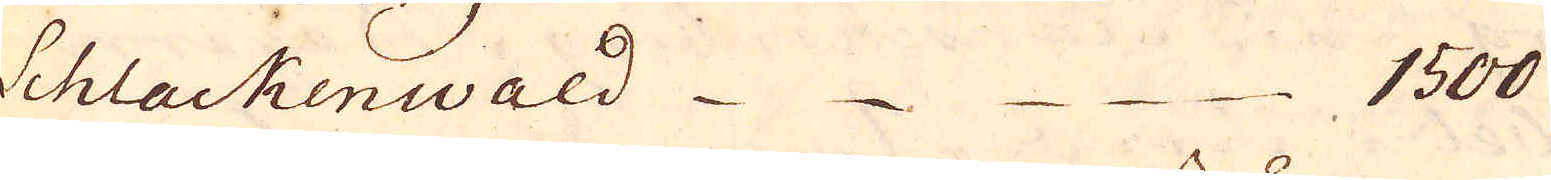Schlackenwald 1500
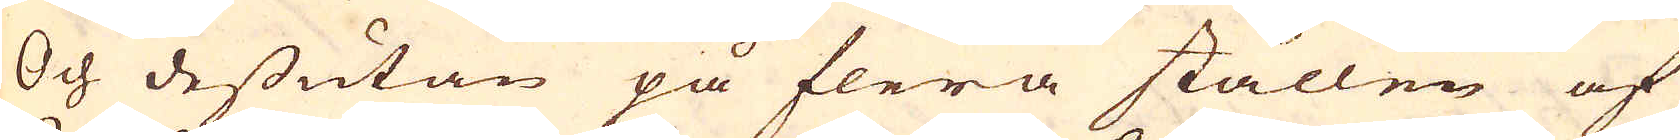Och dessutan på flera ställen af
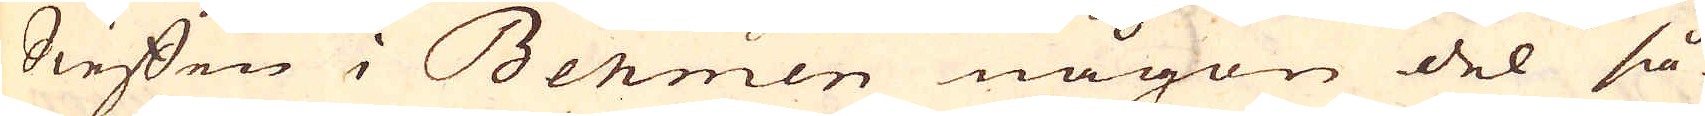Sieffen i Behmen någon del så
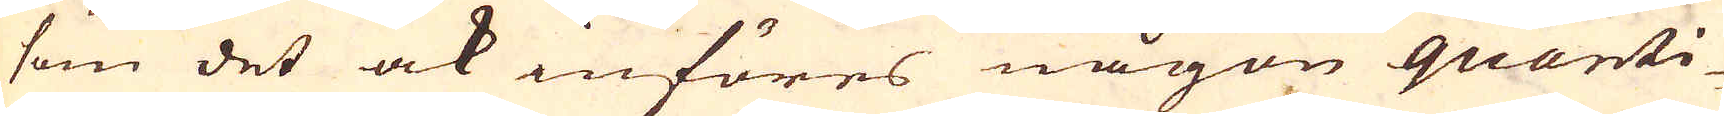som det ock införes någon quanti-
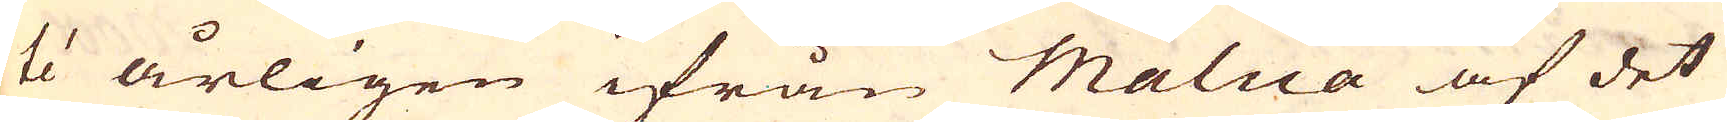té årligen ifrån Malua af det
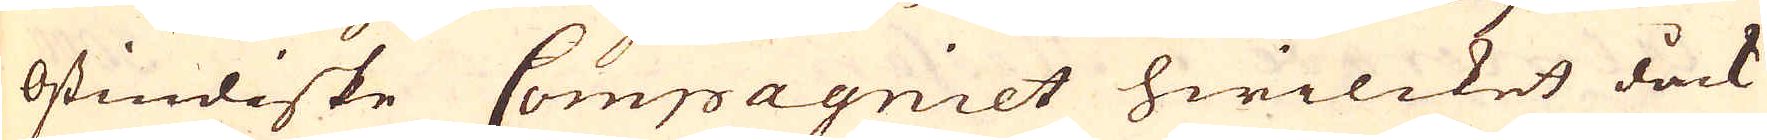Ostindiske Compagniet hwilcket dåck
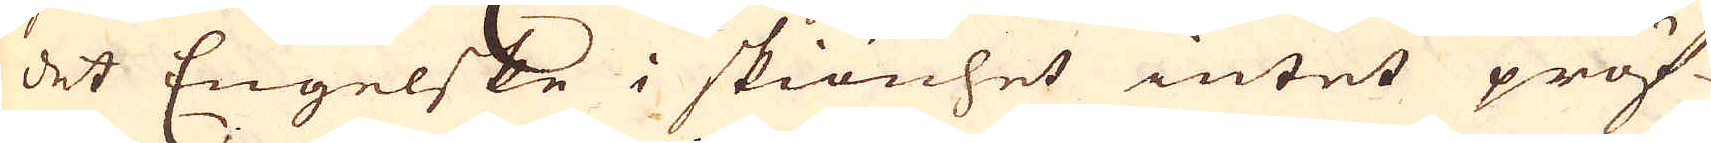det Engelske i skiönhet intet pröf-
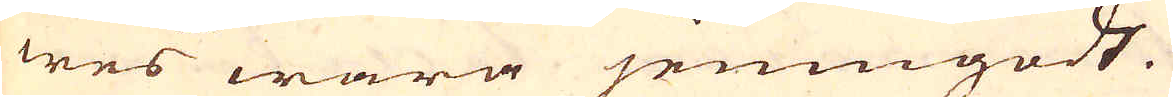wes wara jemngodt.
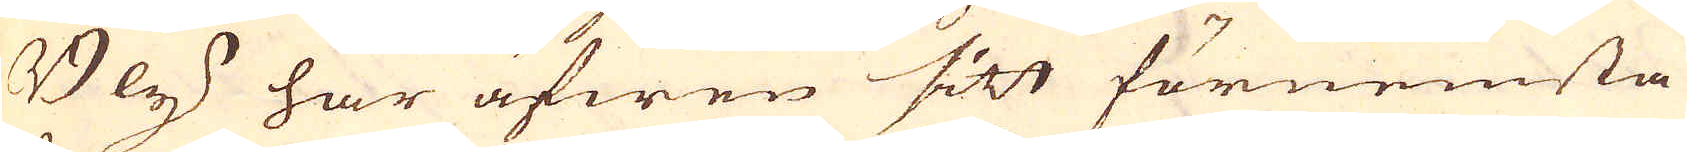Bly har äfwen sitt förnemta
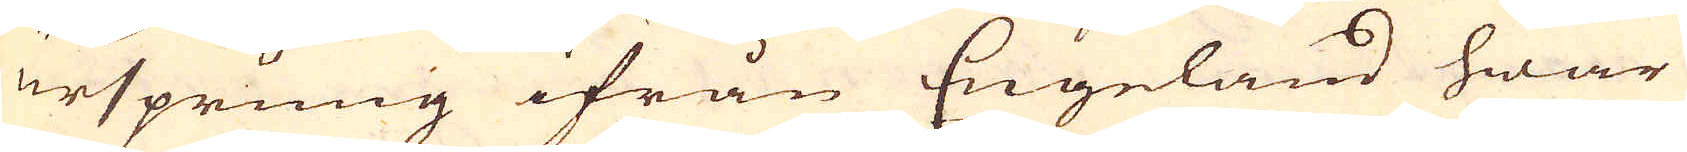ursprung ifrån Engeland hwar-
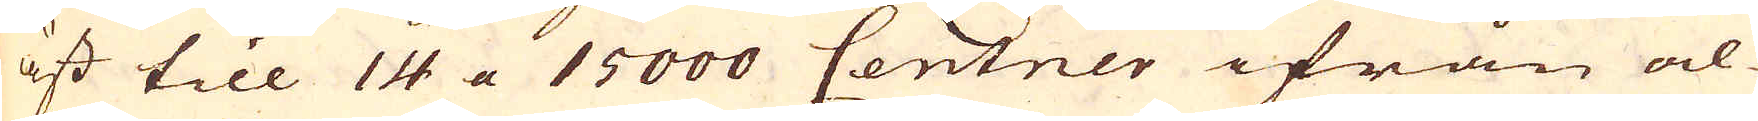äst till 14 a 15000 Centner ifrån al-
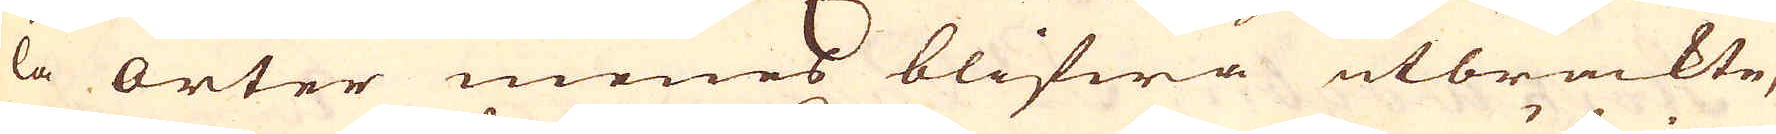la orter menes blifwa utbrackte,
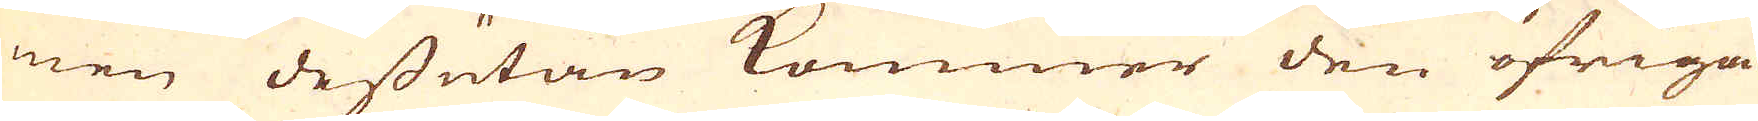men dessutan kommer den öfriga
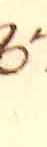874.
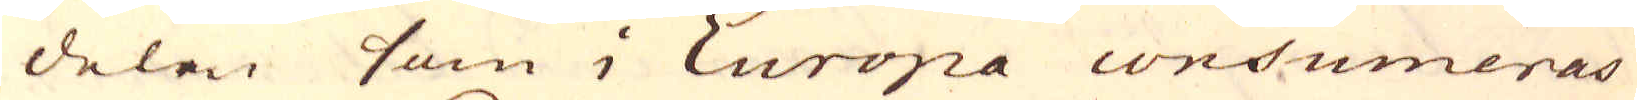delen som i Europa consumeras
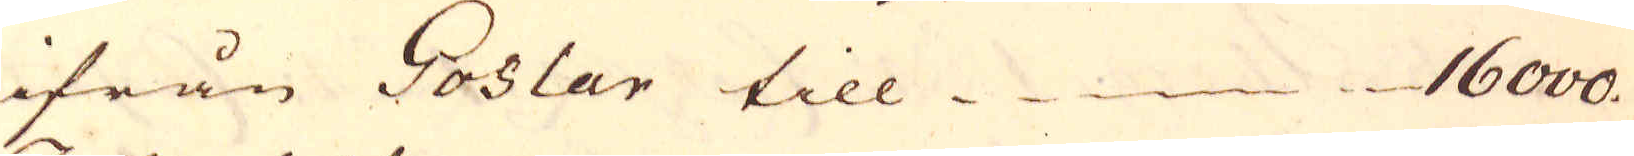ifrån Goslar till 16000.
